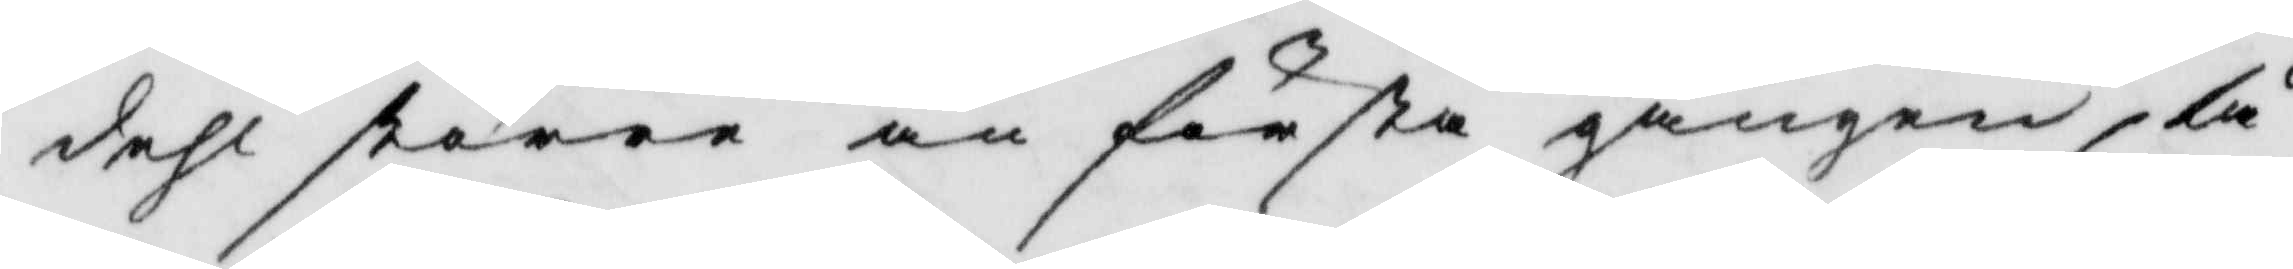dehl större än första gången, tå
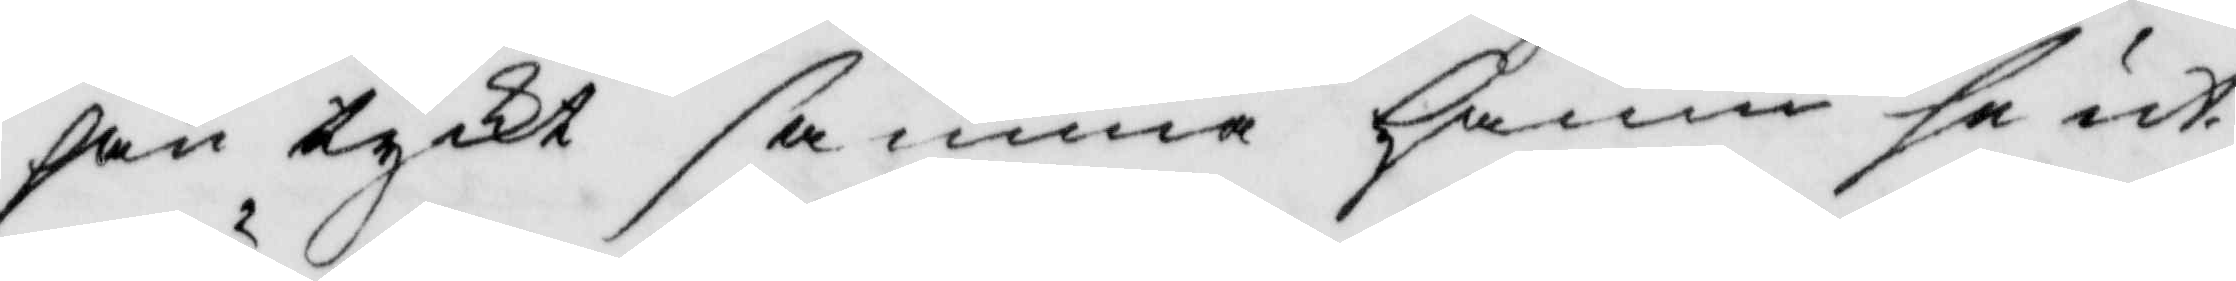han tyckt samma hamn se ut
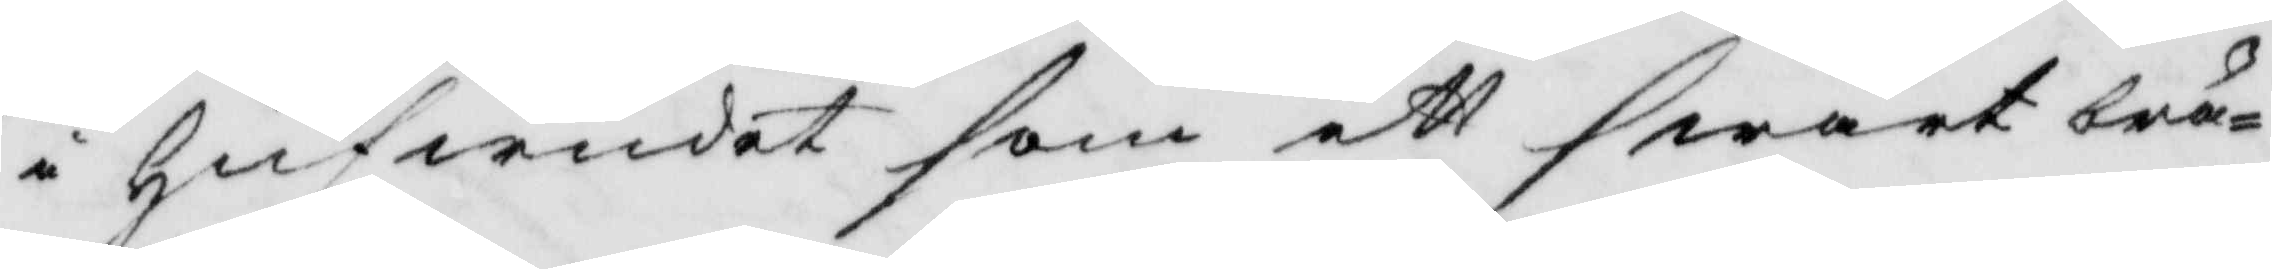i hufwudet som ett swart brå¬
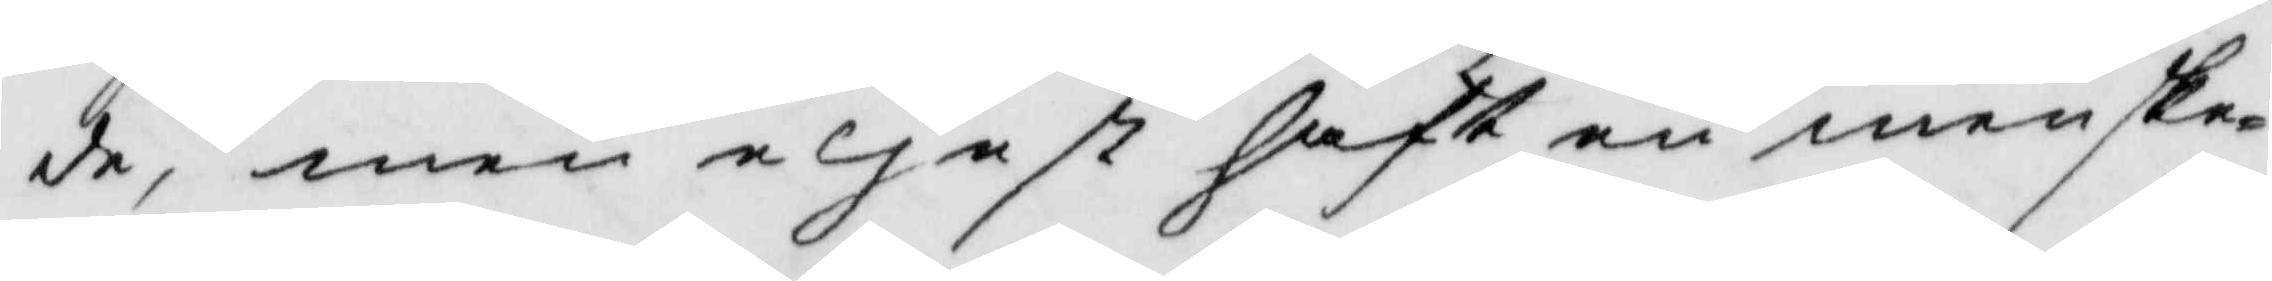de, men eliest haft en menske¬
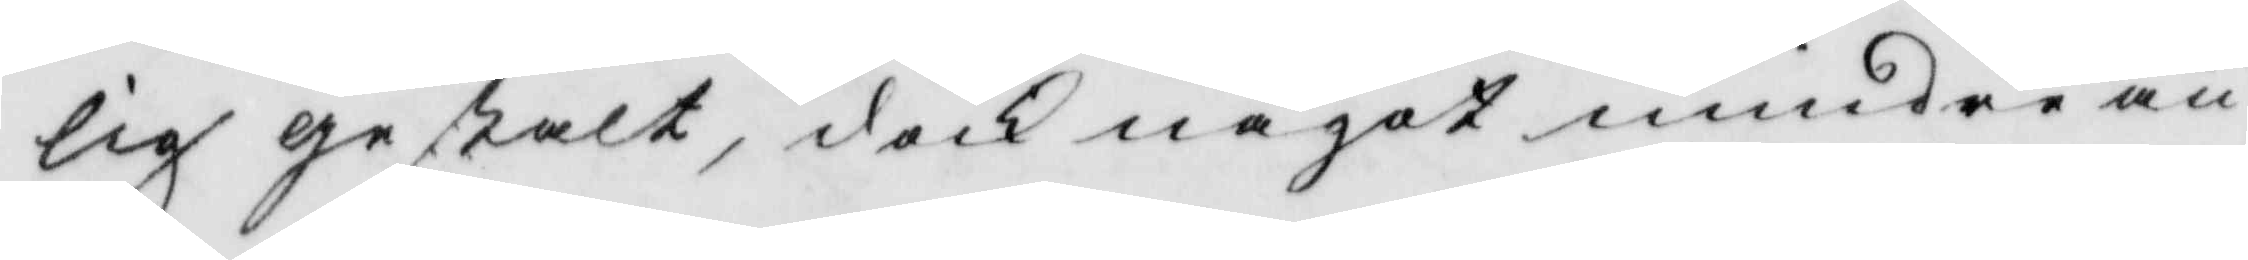lig gestalt, doch något mindre än
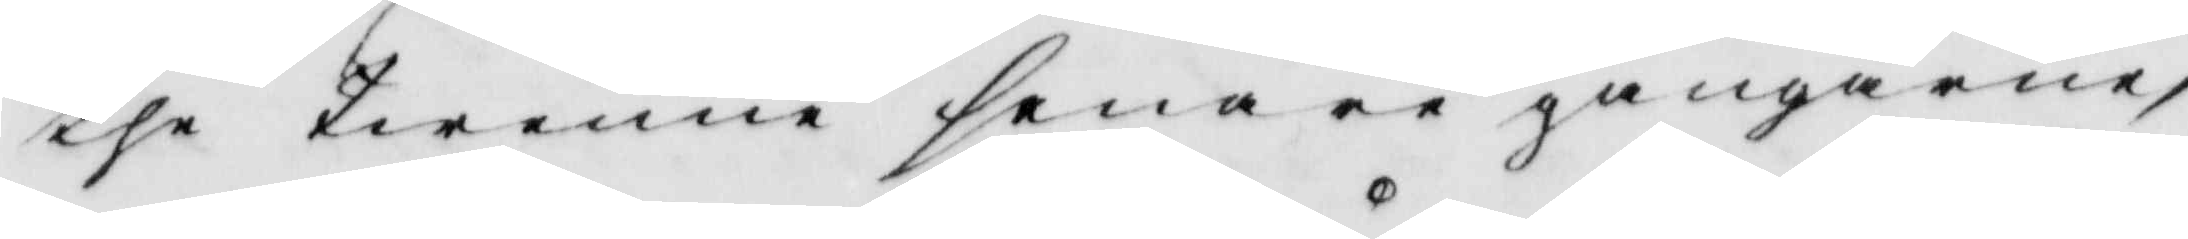the twenne senare gångerne,
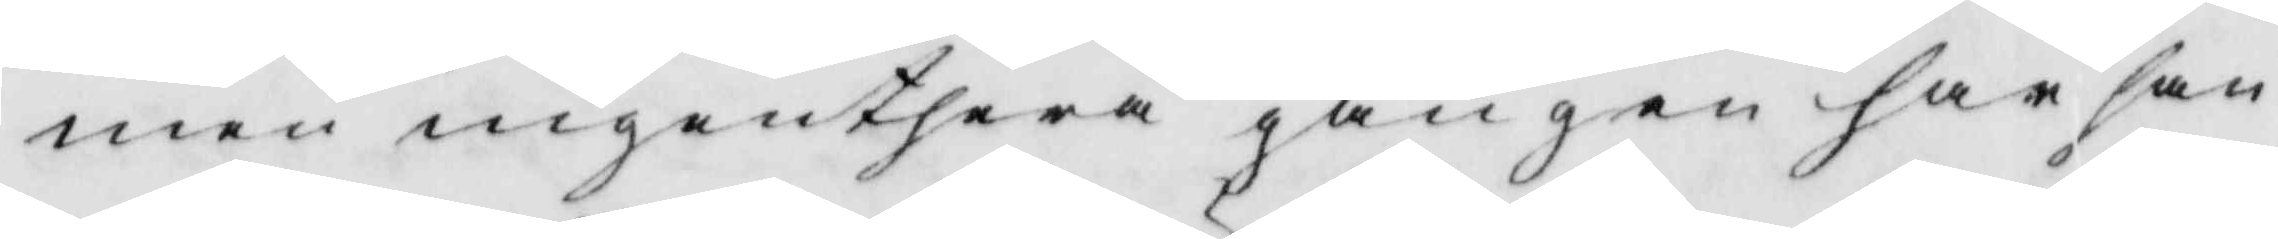men ingenthera gången har han
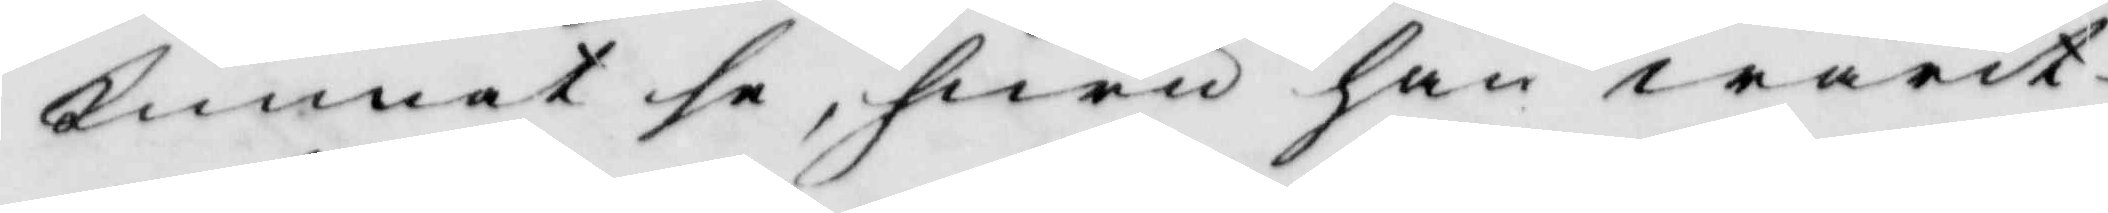kunnat se, huru han warit
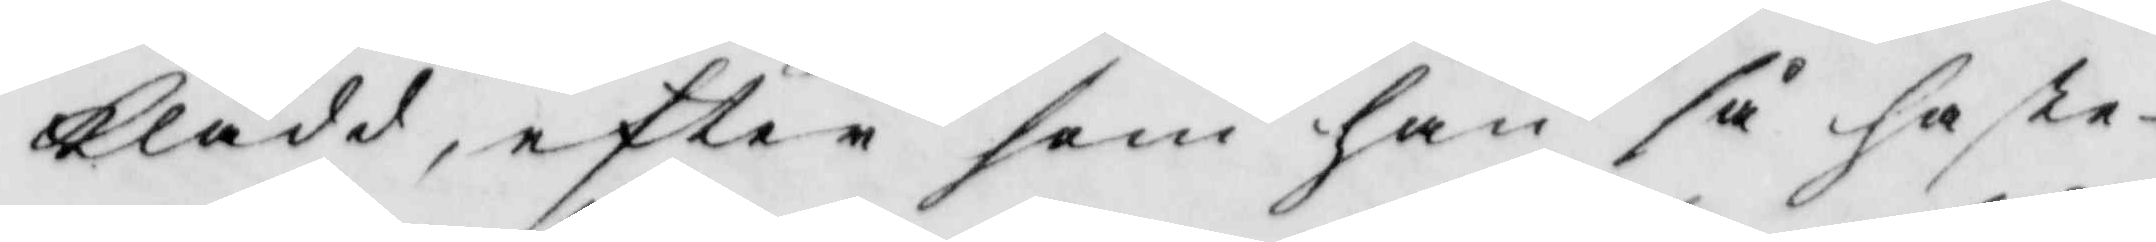klädd, efter som han så haste¬
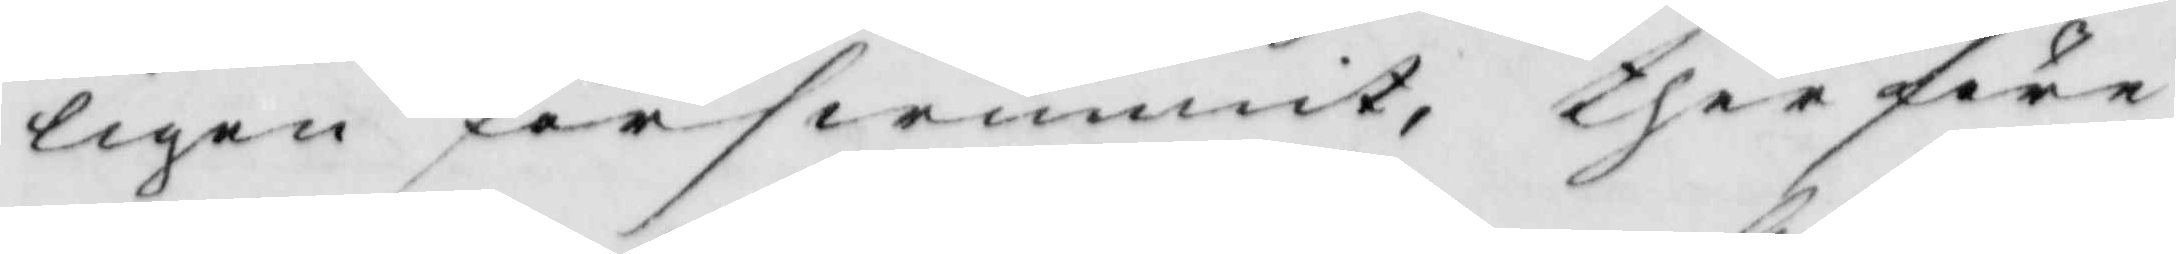ligen förswunnit, therföre
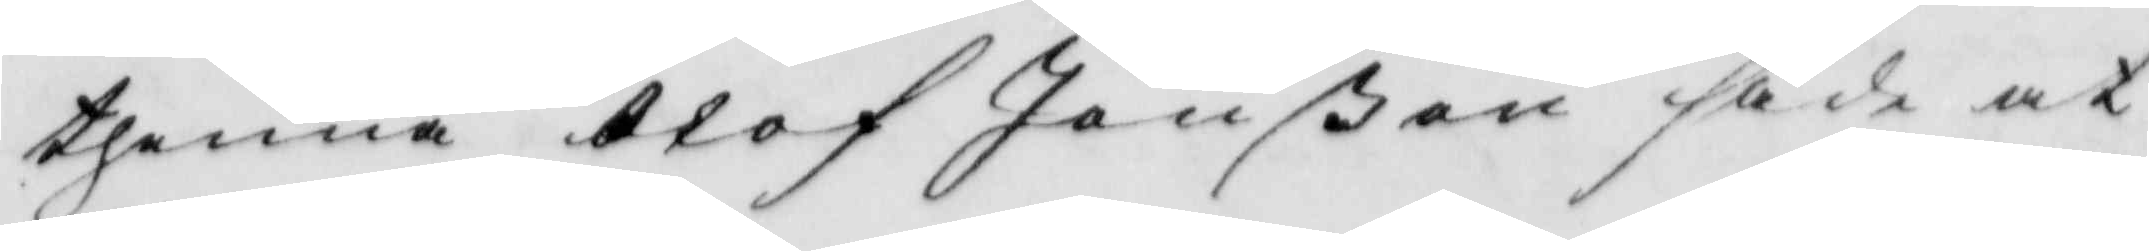thenna Olof Jönßon sade at
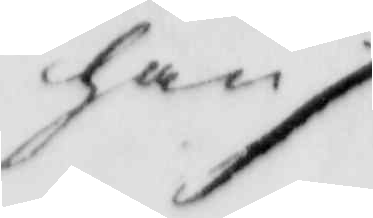han ./.
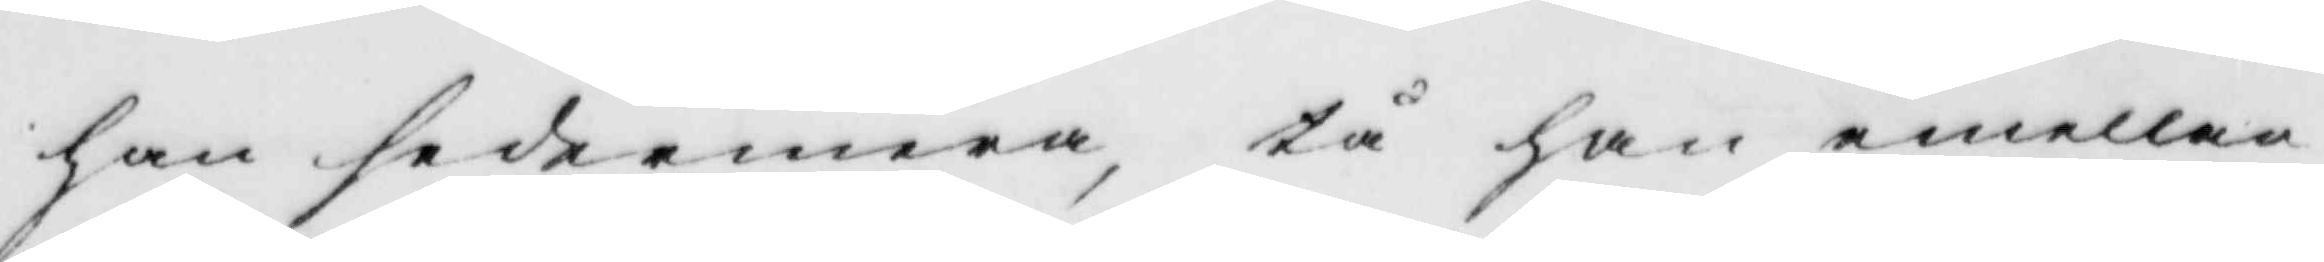han sedermera, tå han emellan
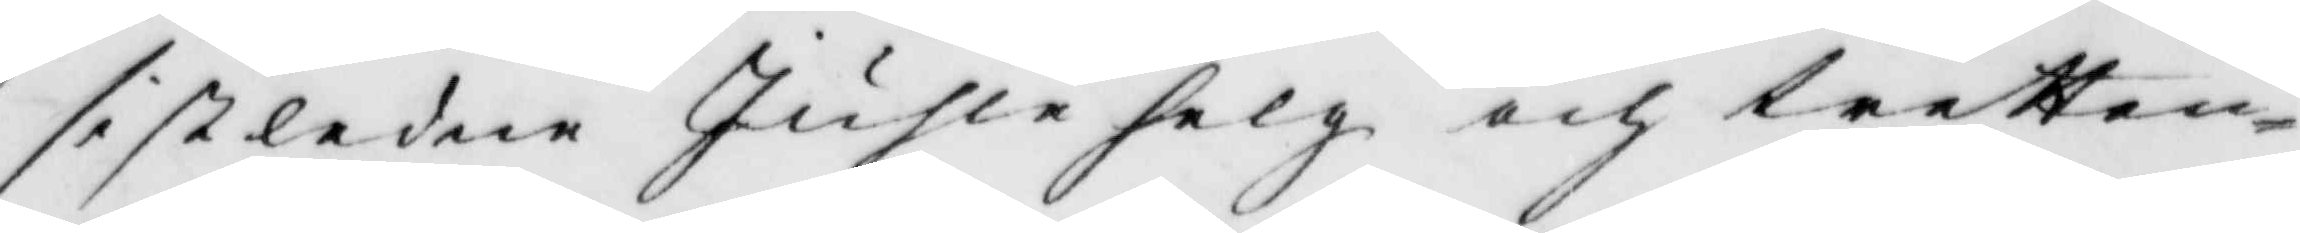sistledne Juhlehelg och tretton¬
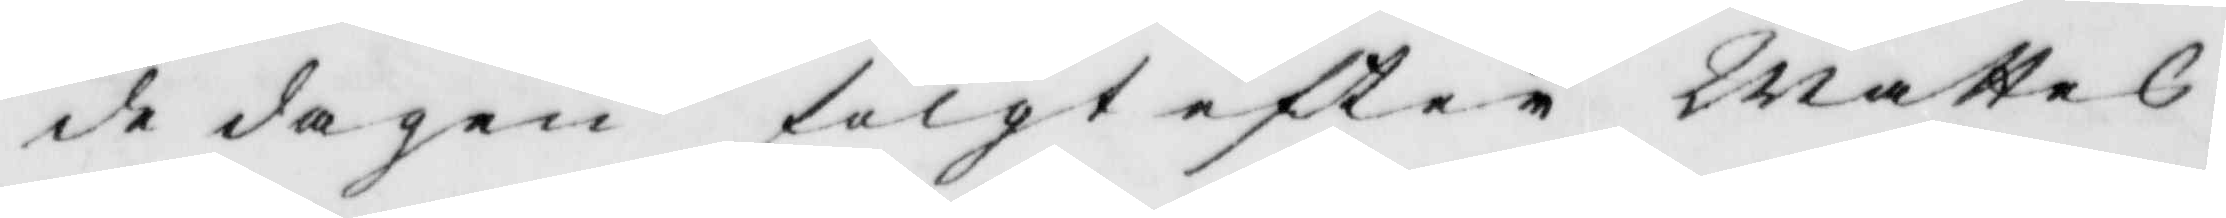de dagen fölgt eftter Mattes
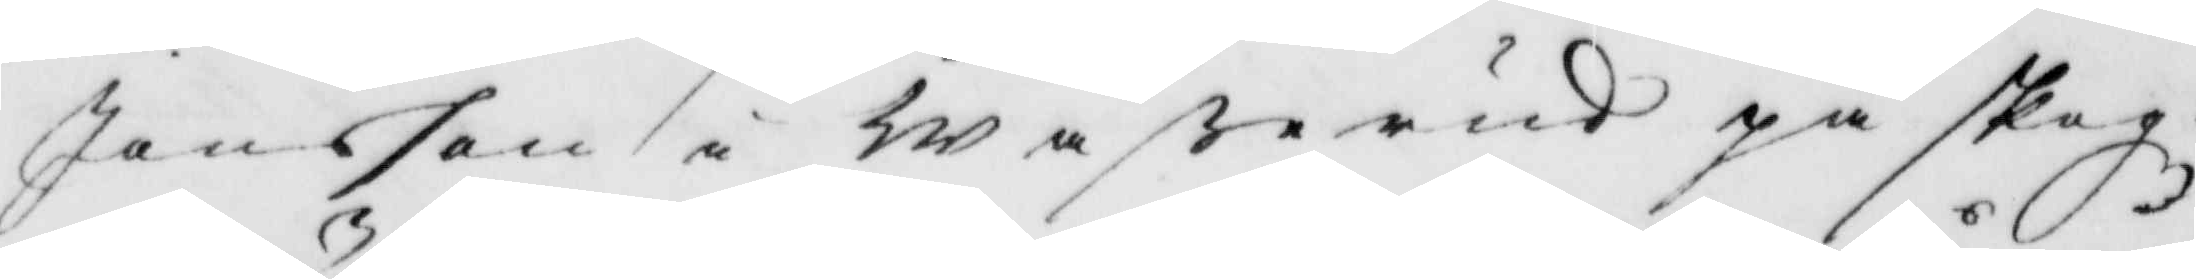Jansson i Waßerud på skogz¬
